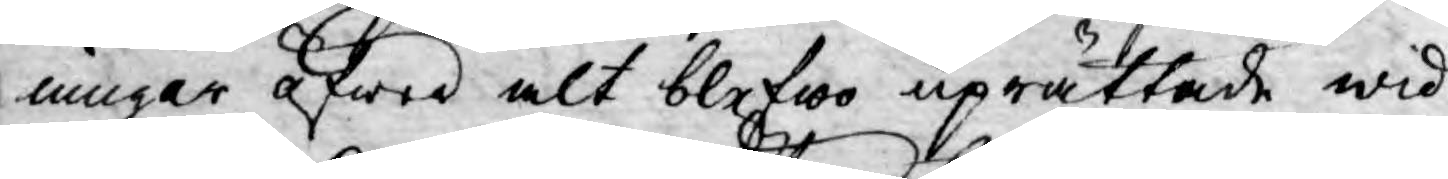ningar öfwer alt blefwo uprättade wid
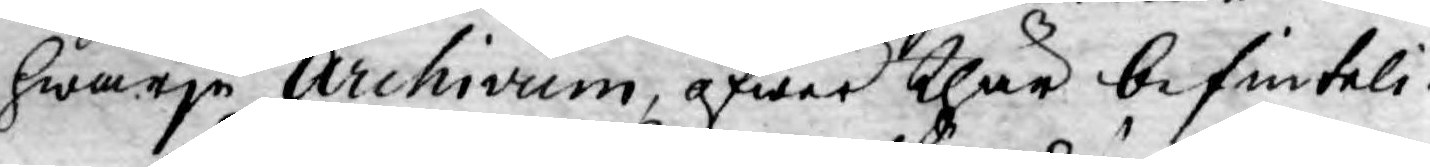hwarje Archivum, öfwer thär befinteli¬
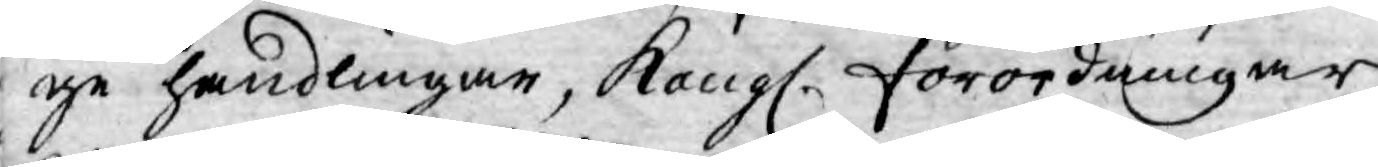ge handlingar, Kongl. Förordningar,
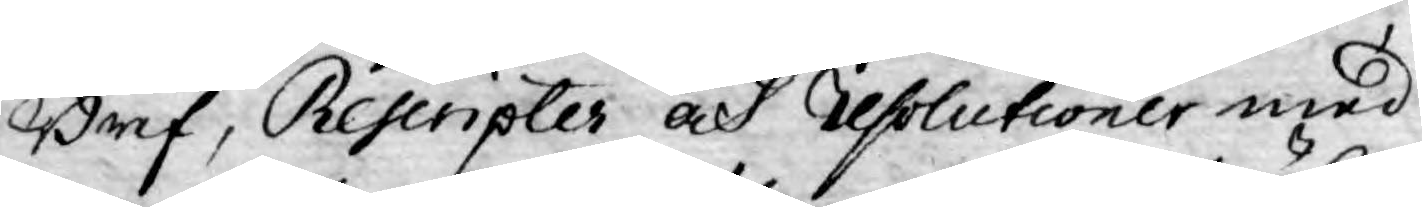Bref, Rescripter och resolutioner med
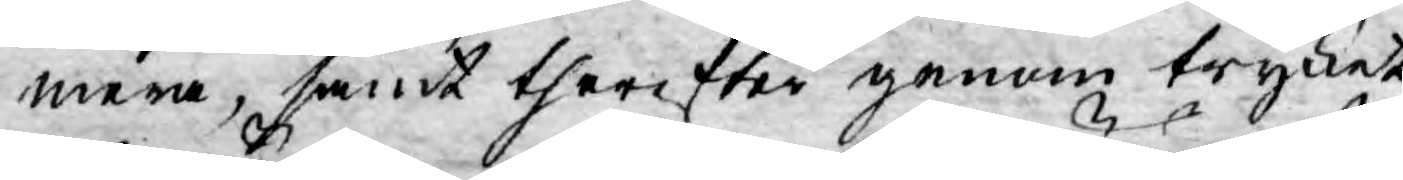mera, samt therefter genom trycket
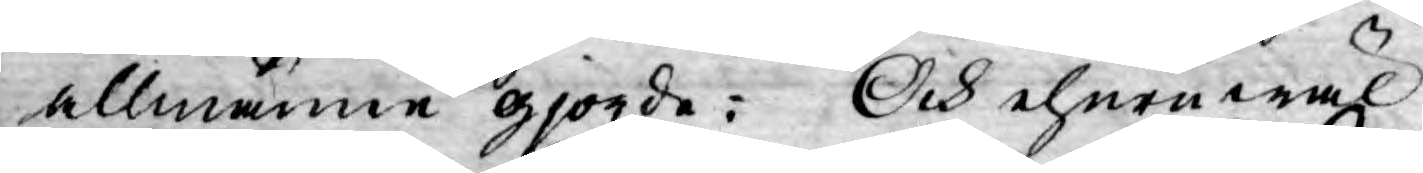allmänne gjorde: Och ehuruwäl
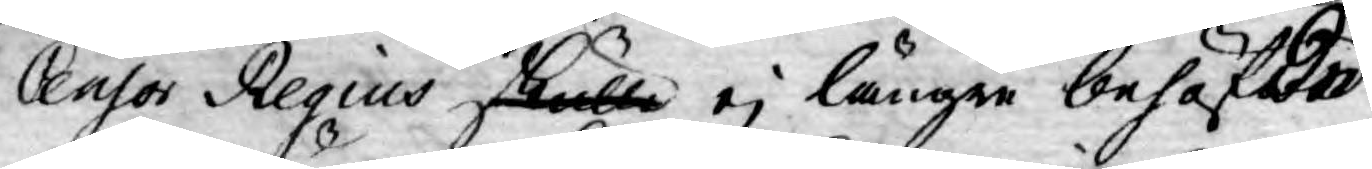Censor Regius skulle ej längre behäftad
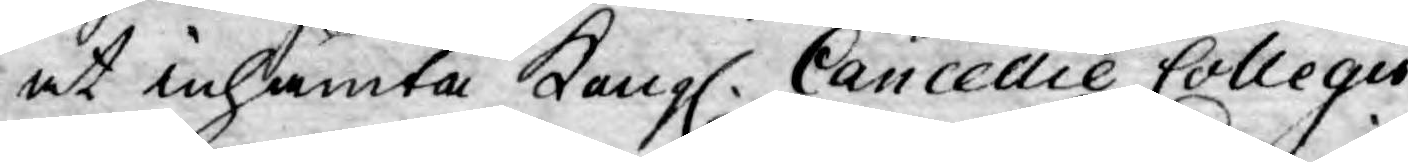at inhämta Kongl. Cancellie Collegii
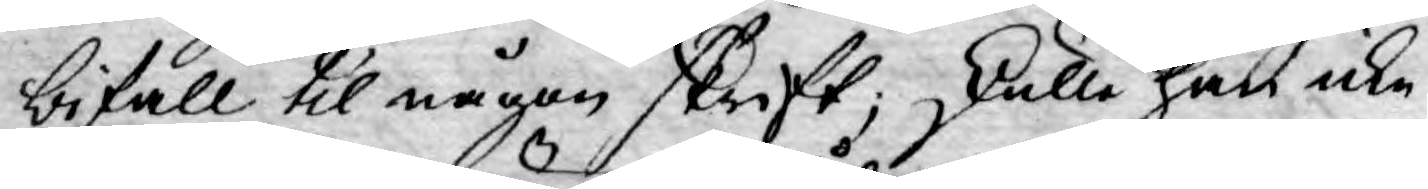bifall til någon skrift; skulle han icke
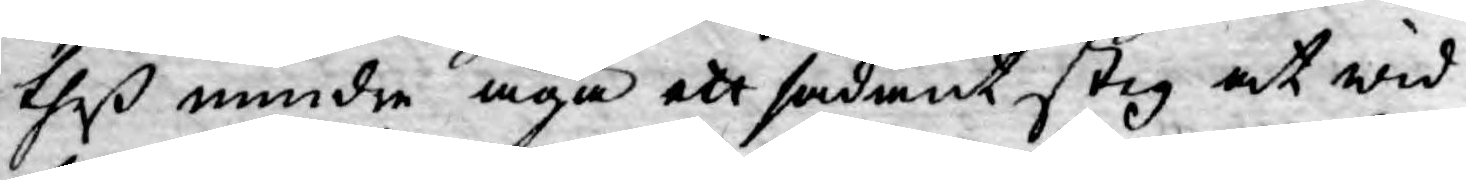theß mindre äga ett sådant steg at wid¬
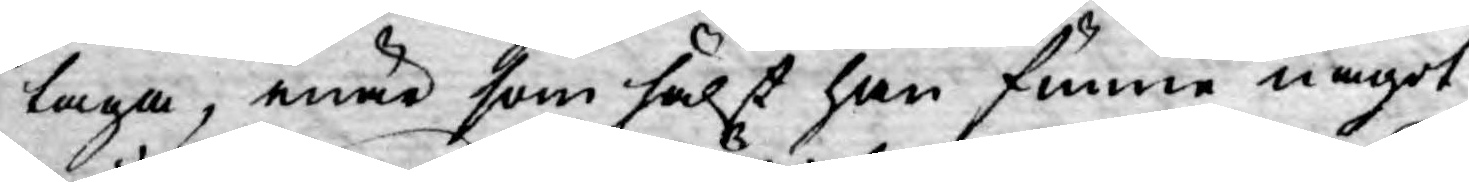taga, enär som hälst han funne något
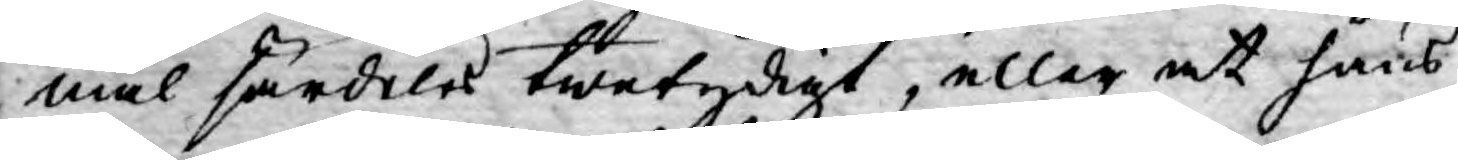mål särdeles twetydigt, eller at hans
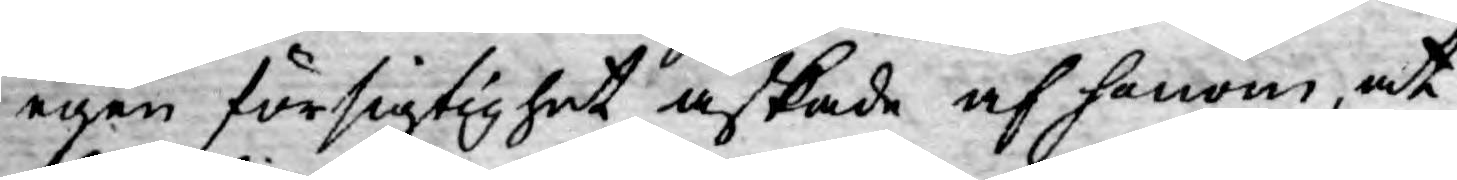egen försigtighet äskade af honom, at
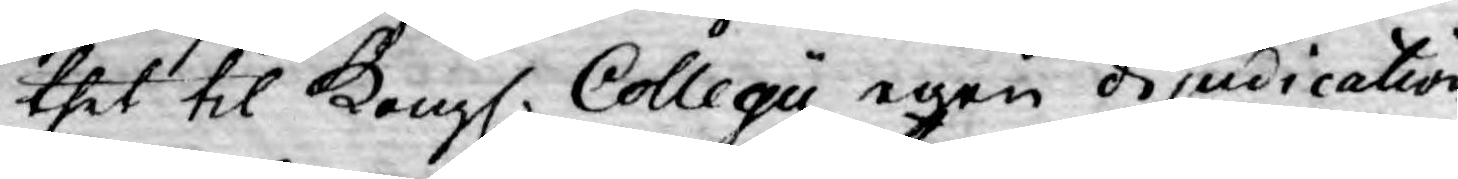thet til Kongl. Collegii egen dijudication
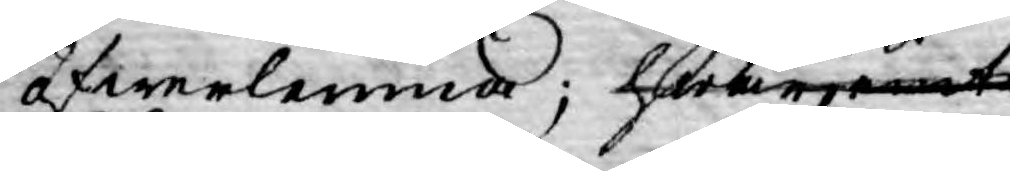öfwerlemna; hwarjemte
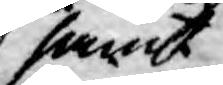samt
